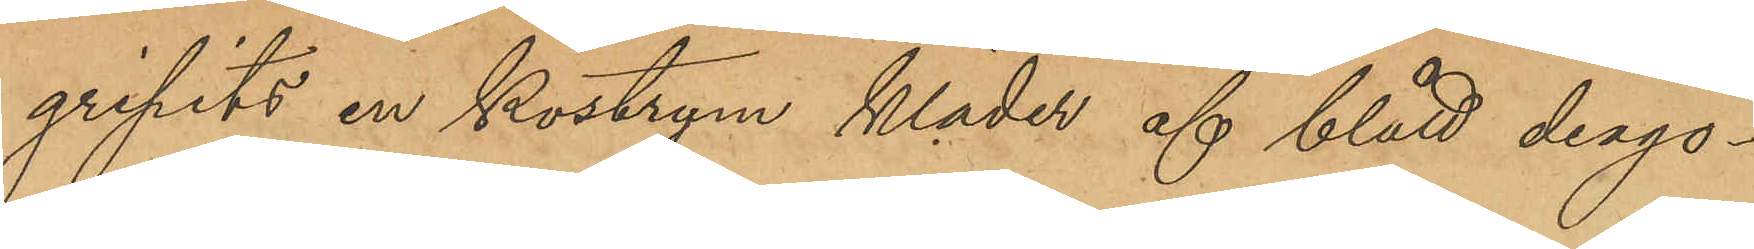gripits en kostym kläder af blått diago¬
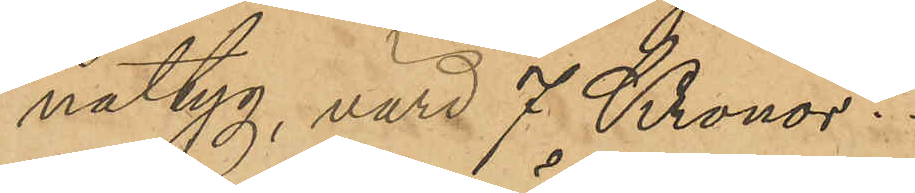naltyg, värd 7 Kronor.
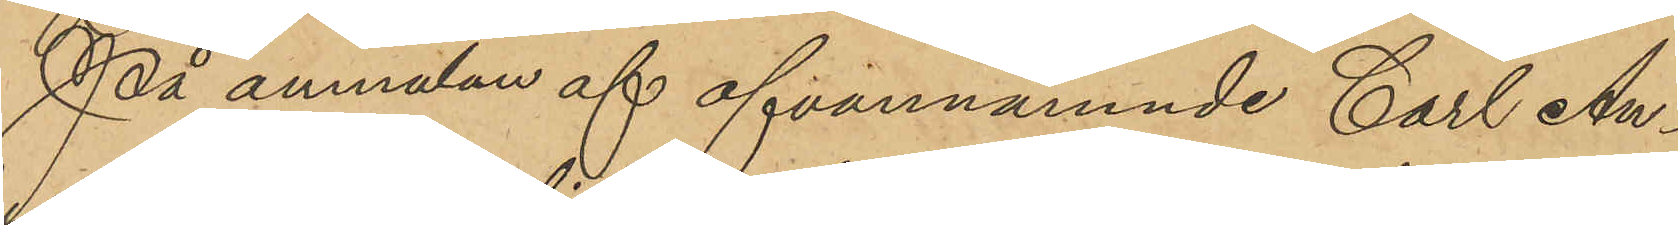På anmälan af ofvannämnde Carl An¬
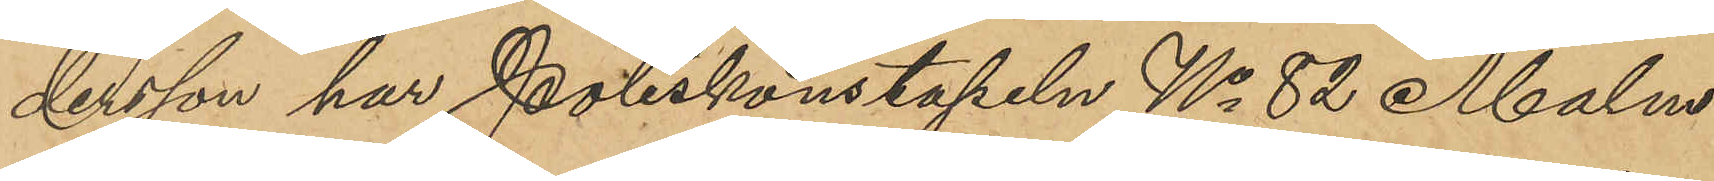dersson har Poliskonstapeln No 82 Malm
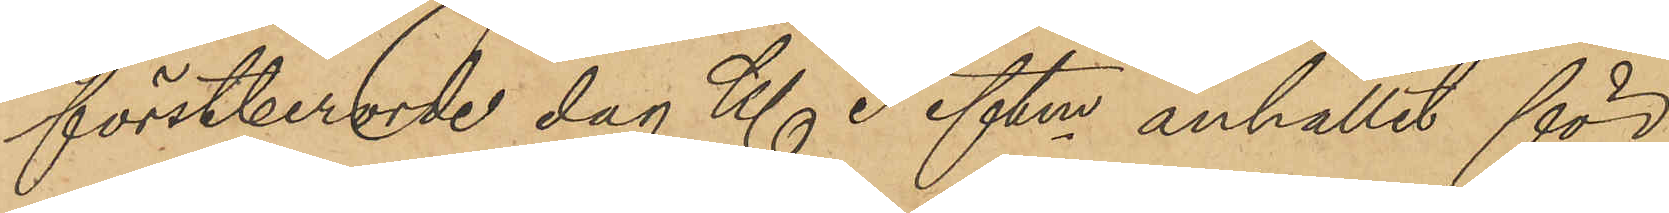förstberorde dag Kl 3 eftm anhållit för
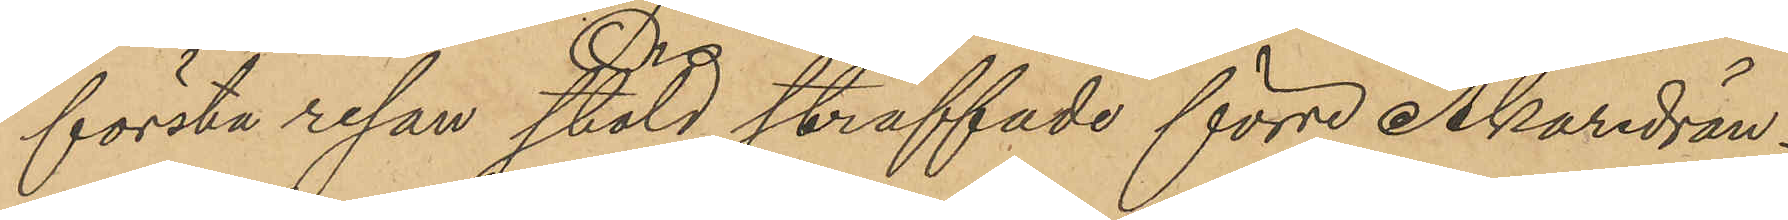första resan stöld straffade förre Åkaredrän¬
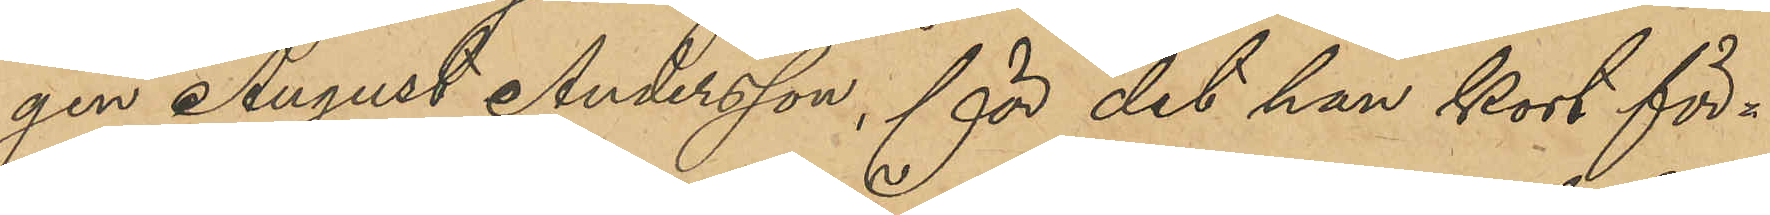gen August Andersson, för det han kort för¬
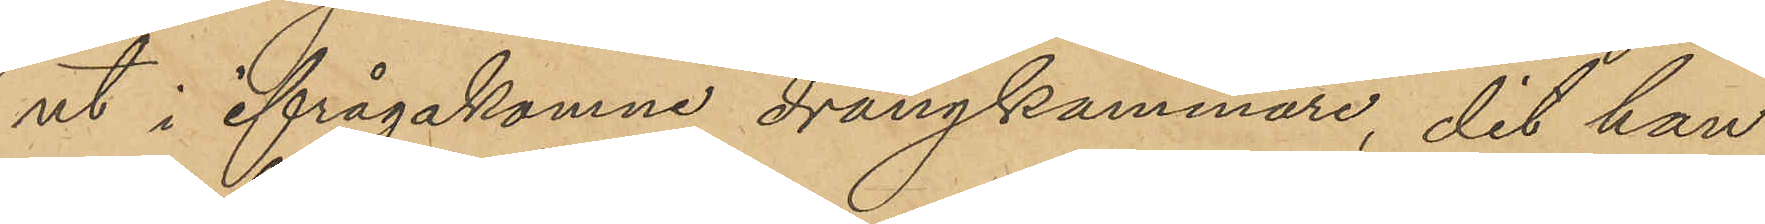ut i ifrågakomne drängkammare, dit han
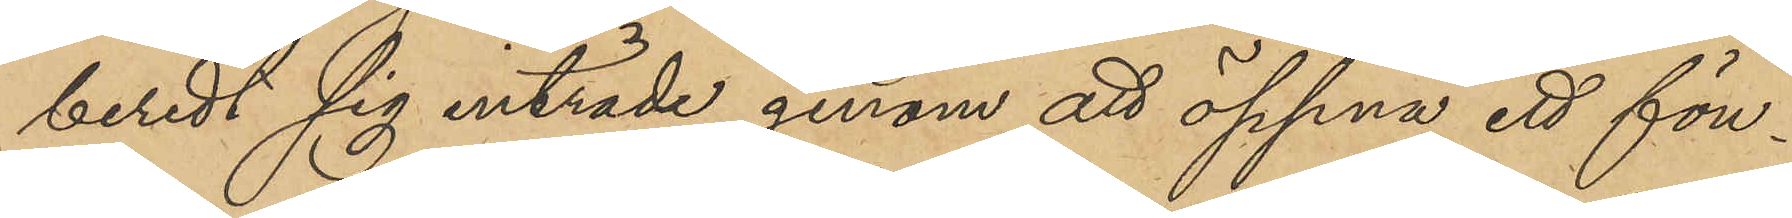beredt sig inträde genom att öppna ett fön¬
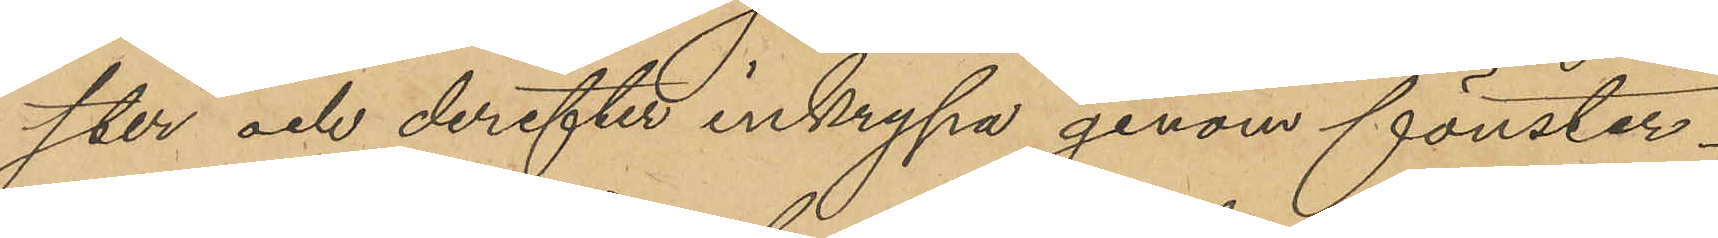ster och derefter inkrypa genom fönster¬
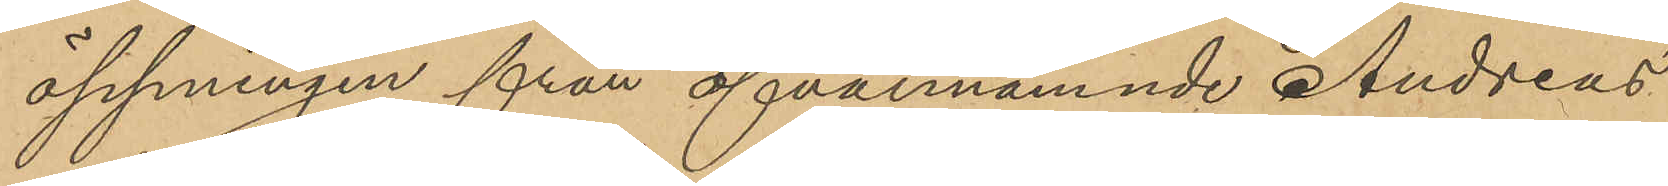öppningen från ofvannämnde Andreas
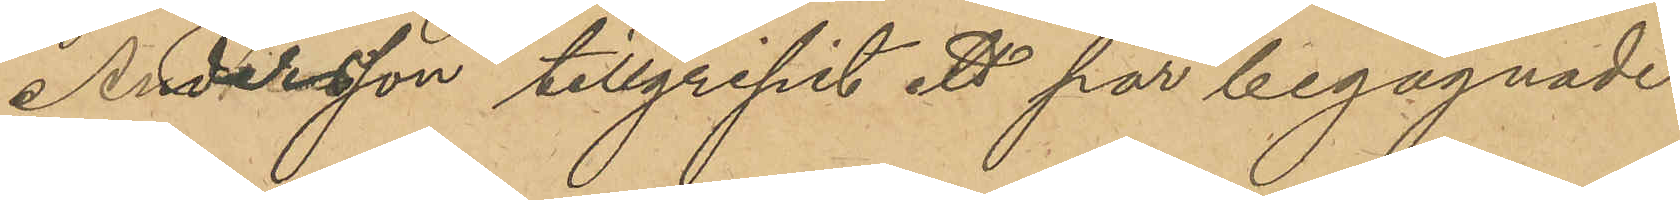Andersson tillgripit ett par begagnade
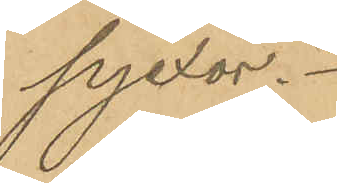pjexor.
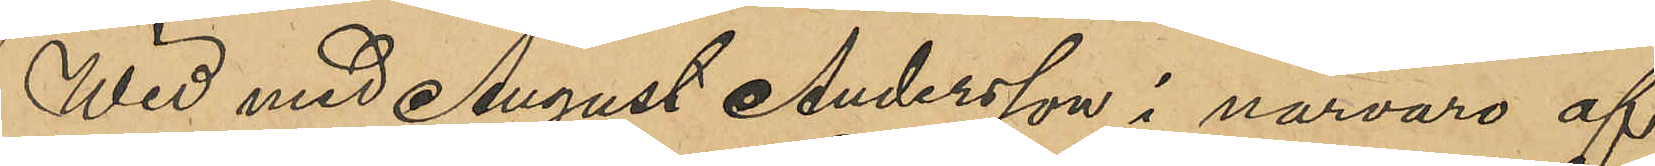Wid med August Andersson i närvaro af
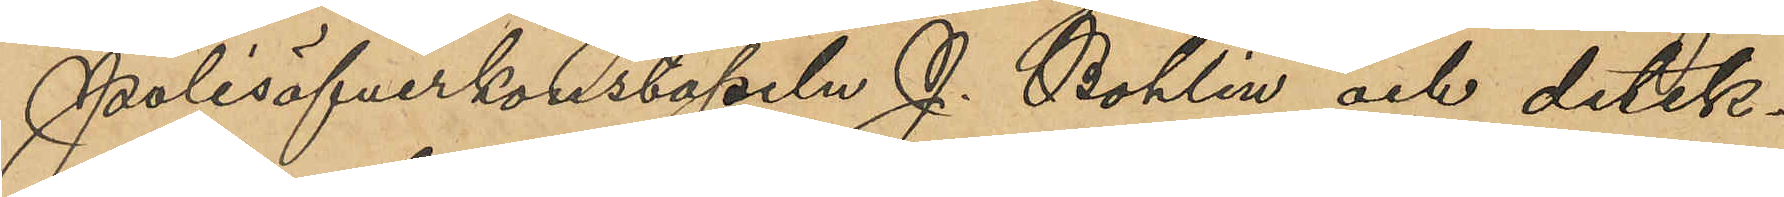Polisöfverkonstapeln J. Bohlin och detek¬
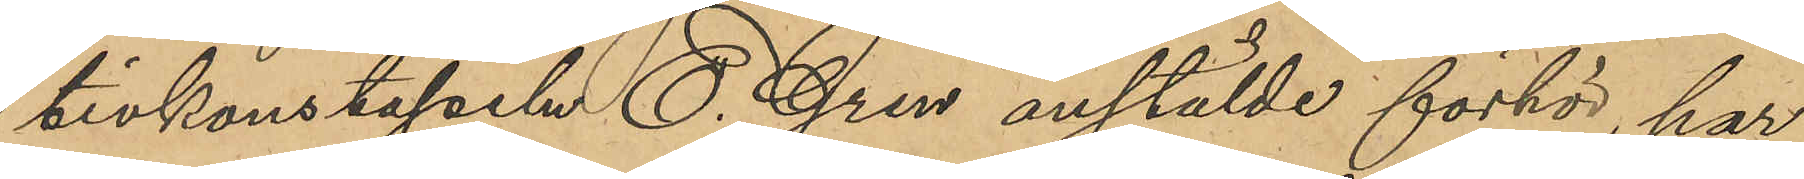tivkonstapeln E. Gren anstälde förhör, har
